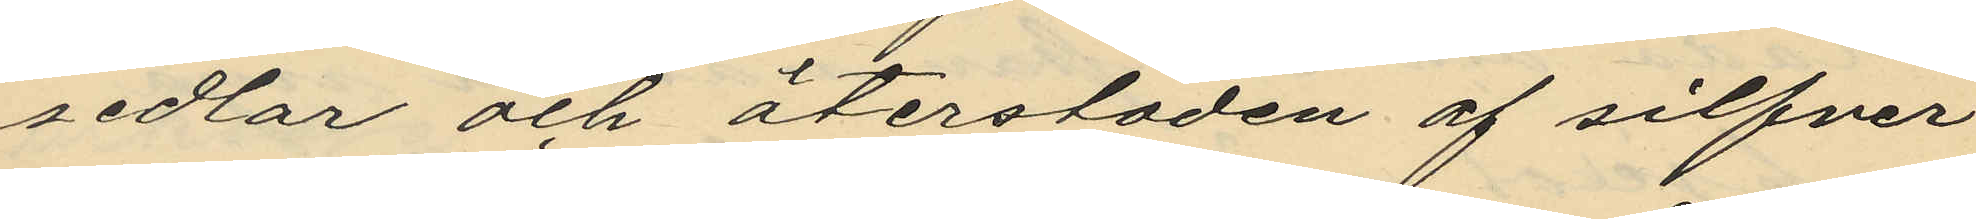sedlar och återstoden af silfver
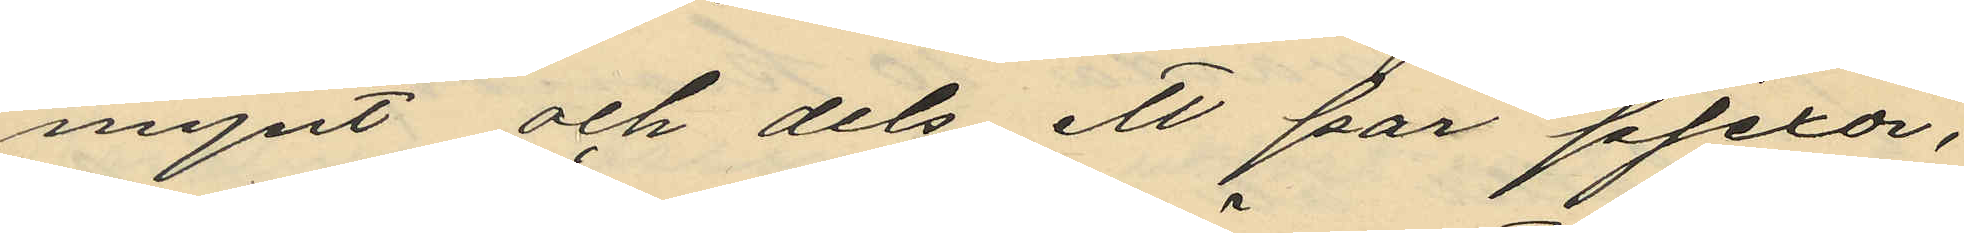mynt och dels ett par pjexor;
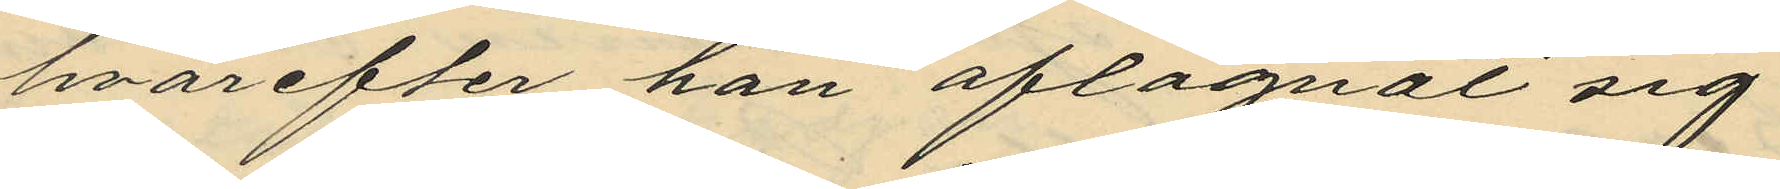hvarefter han aflägnat sig
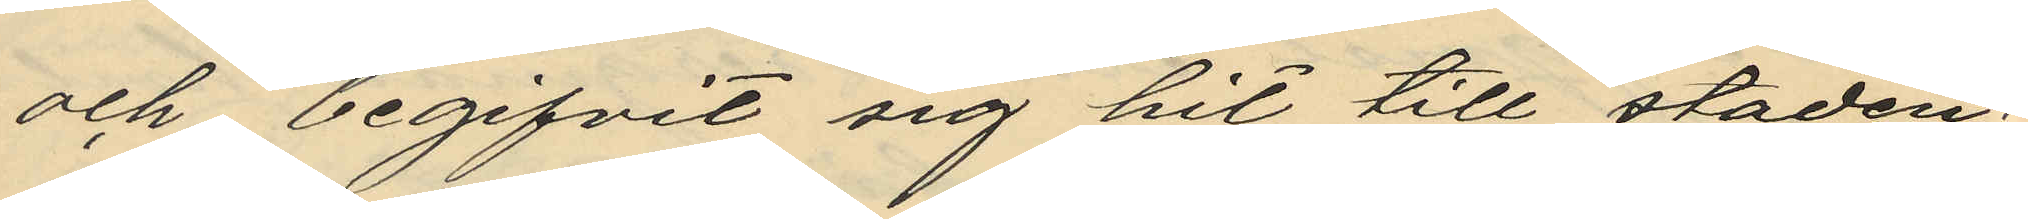och begifvit sig hit till staden;
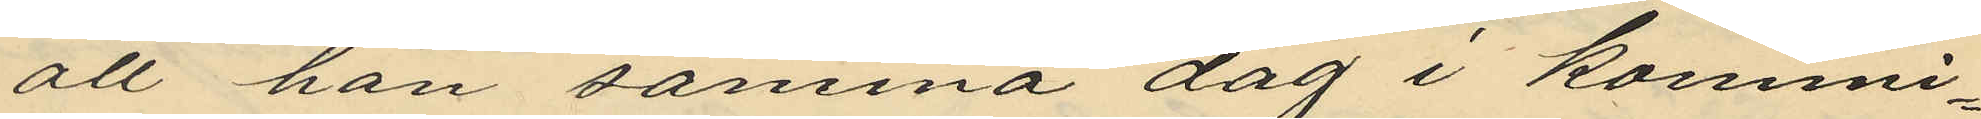att han samma dag i kommi¬
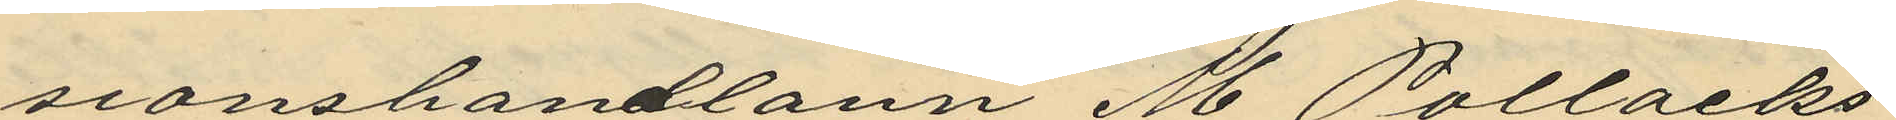sionshandlarn M Pollacks
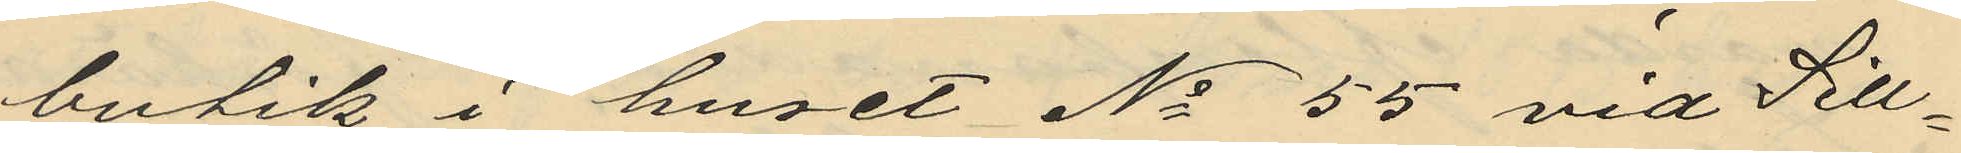butik i huset No 55 vid Sill¬
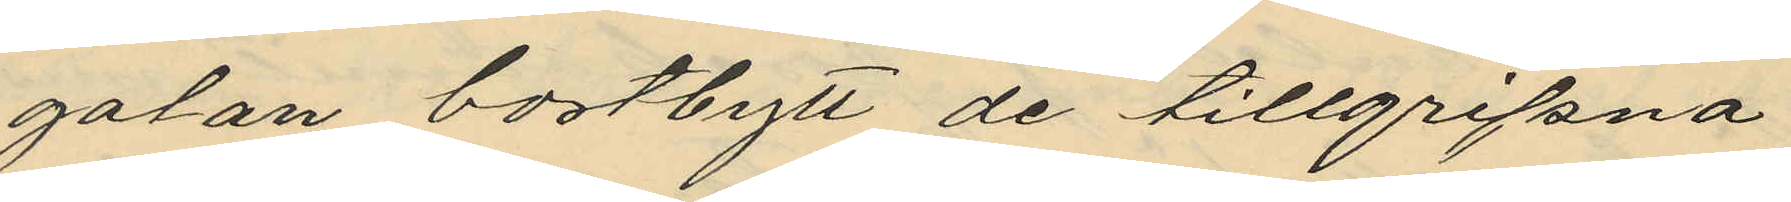gatan bortbytt de tillgripna
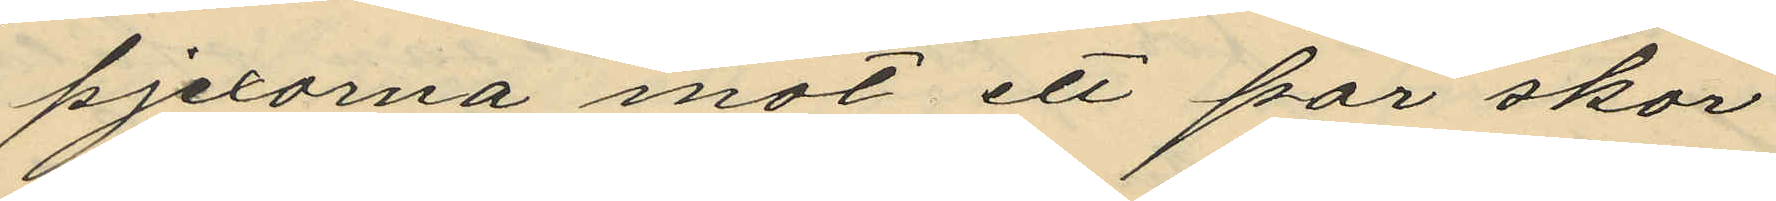pjexorna mot ett par skor
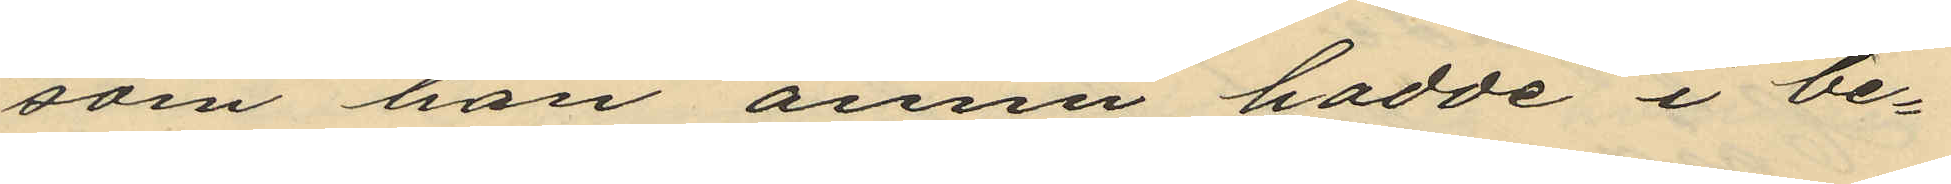som han ännu hadde i be¬
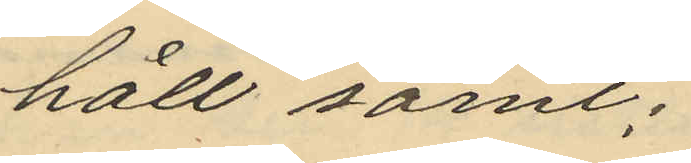håll samt;
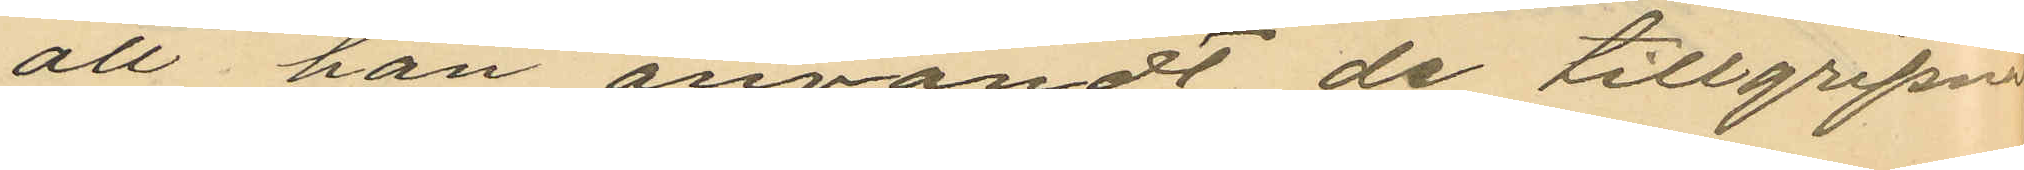att han användt de tillgripne
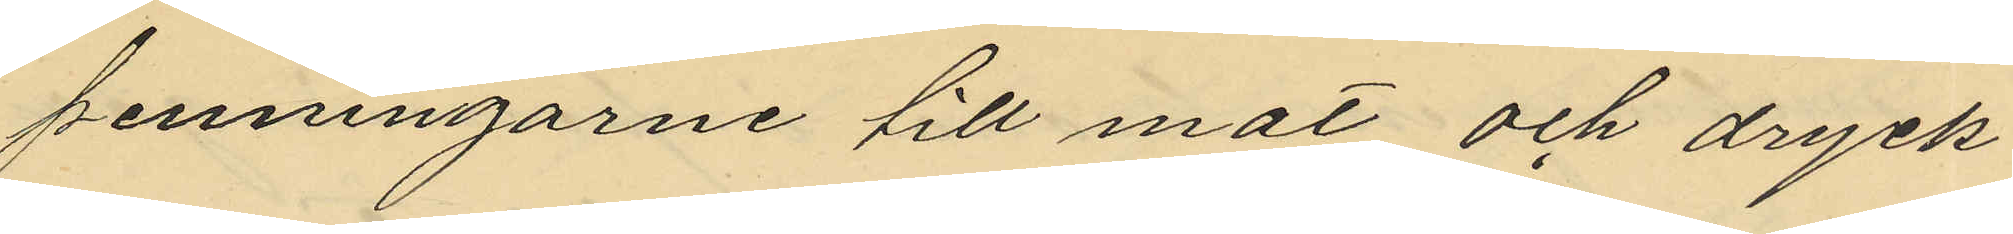penningarne till mat och dryck¬
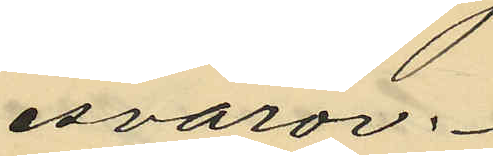esvaror.
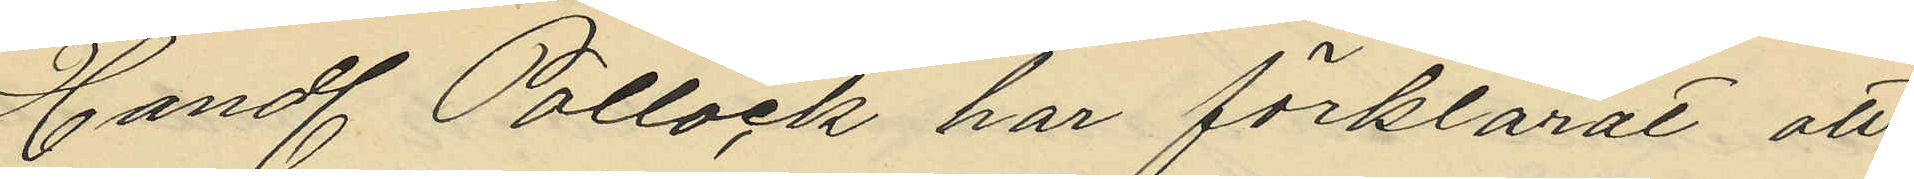Handl. Pollack har förklarat att
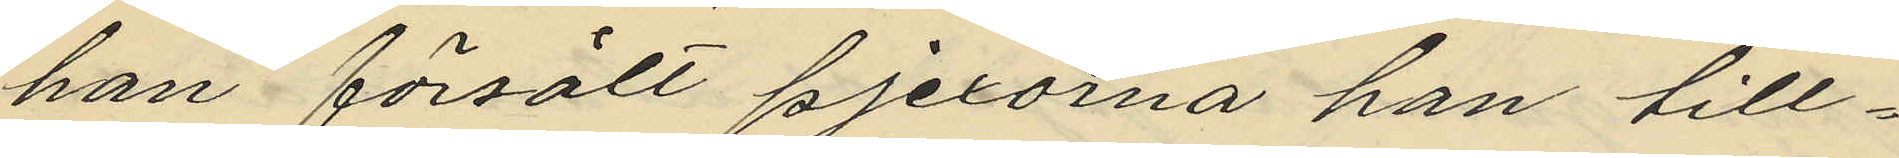han försålt pjexorna han till¬
